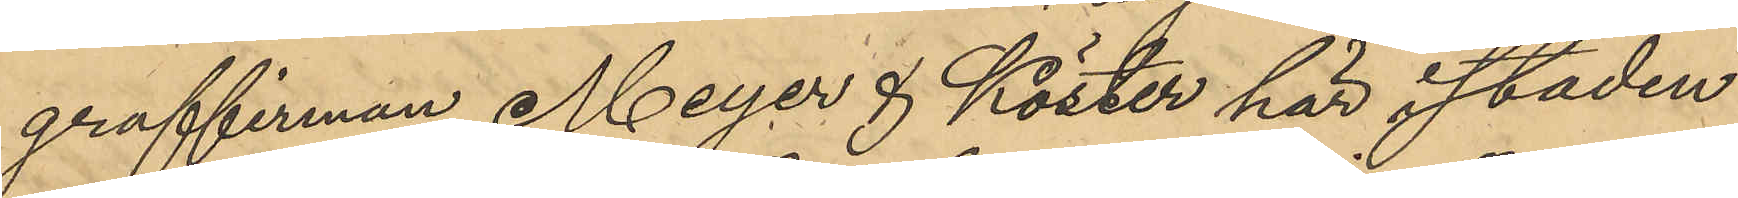graffirman Meyer & Köster här i staden
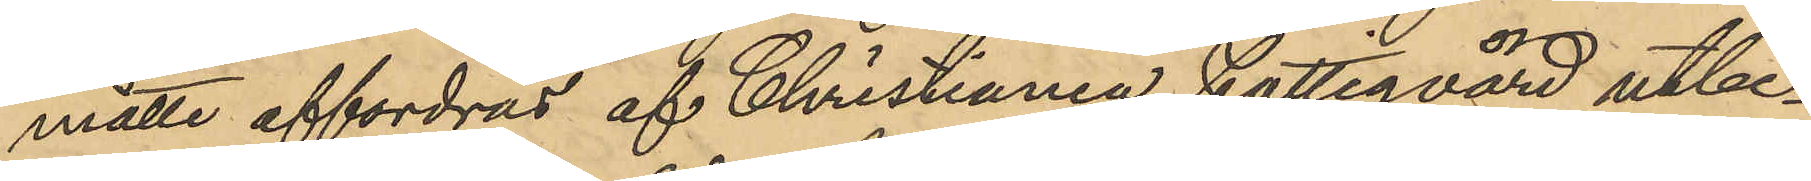måtte affordras af Christiania Fattigvård utbe¬
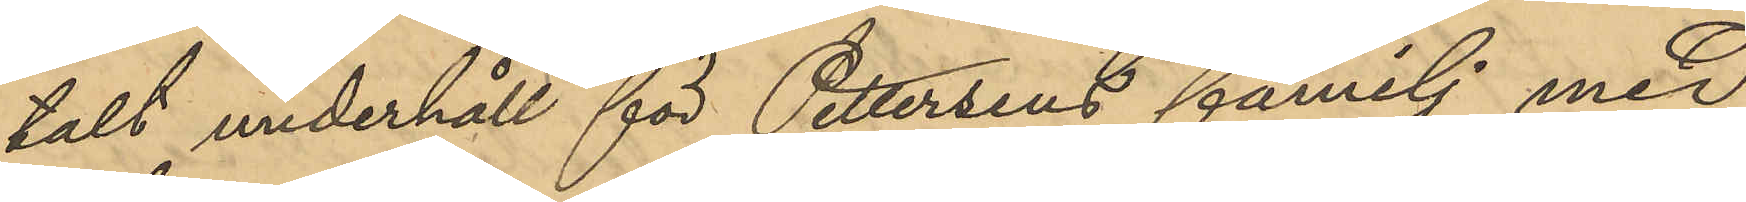talt underhåll för Pettersens familj med
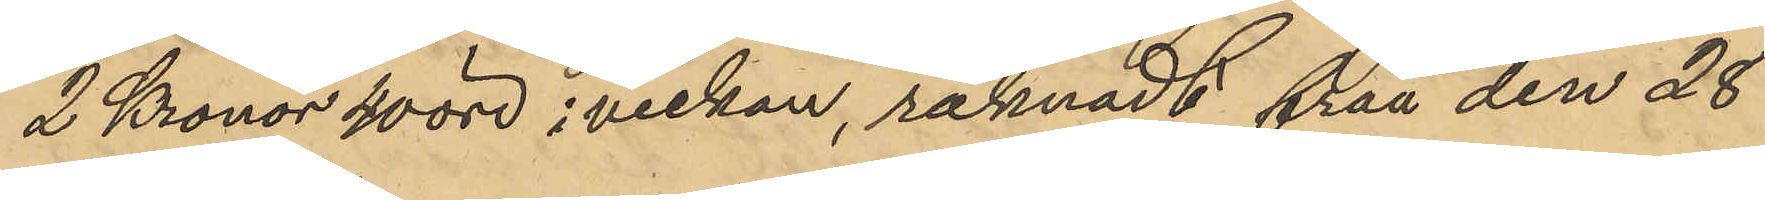2 Kronor 40 öre i veckan, räknadt från den 28
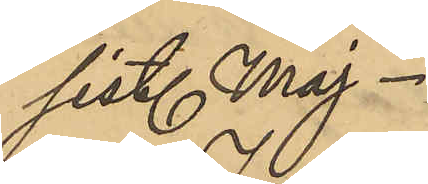sist. Maj
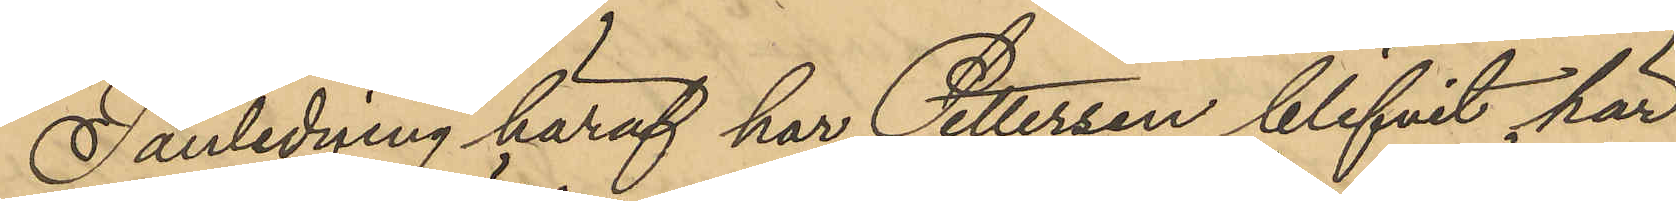I anledning häraf har Pettersen blifvit här
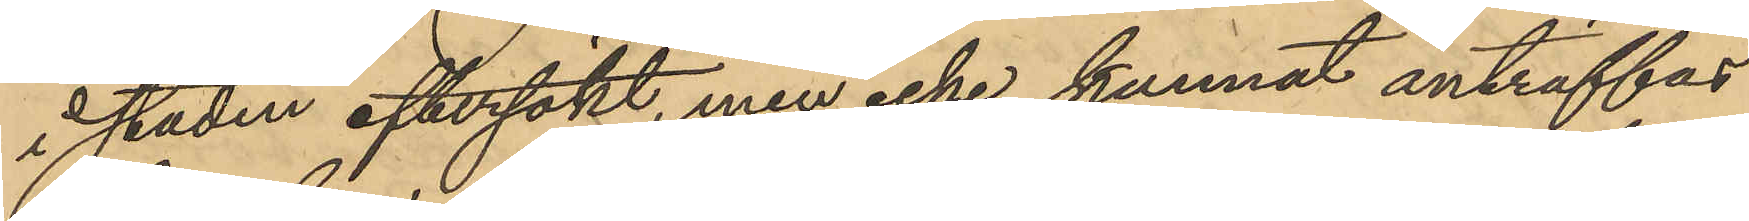i staden eftersökt, men icke kunnat anträffas
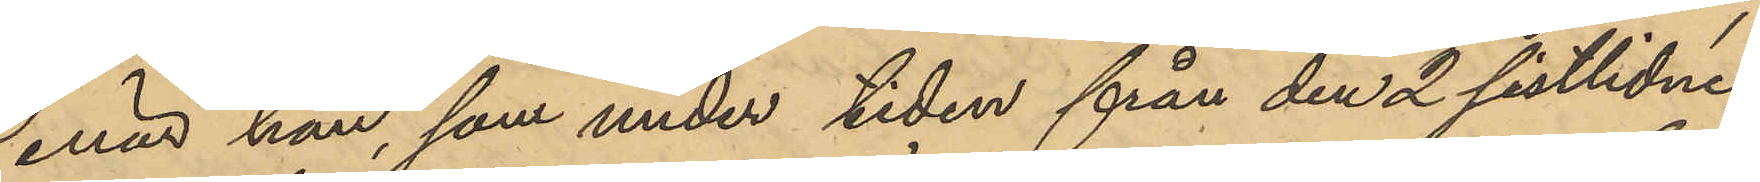enär han som under tiden från den 2 sistlidne
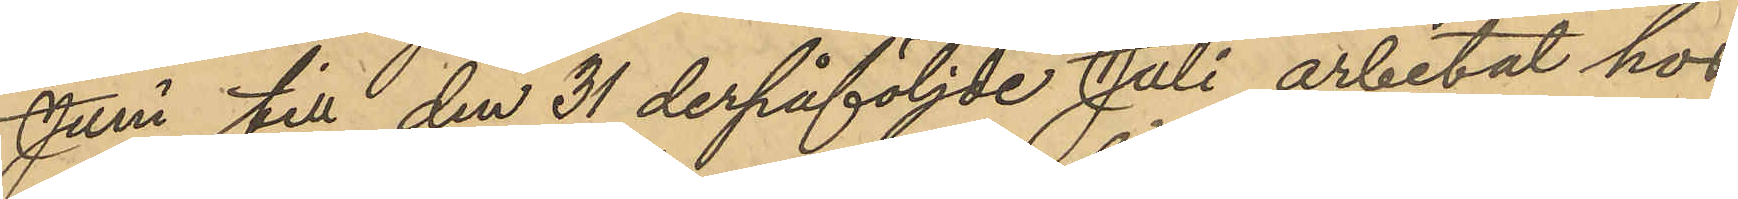Juni till den 31 derpåföljde Juli arbetat hos
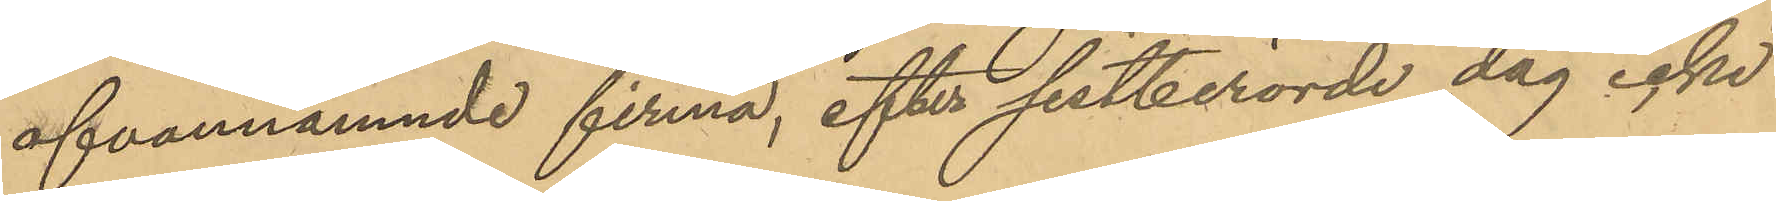ofvannämnde firma, efter sistberörde dag icke
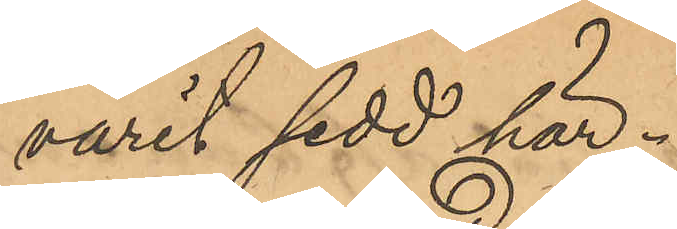varit sedd här.
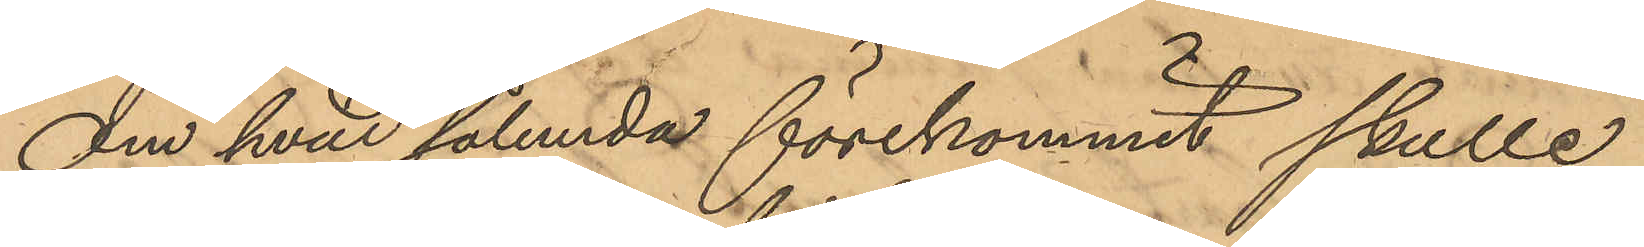Om hvad sålunda förekommit skulle
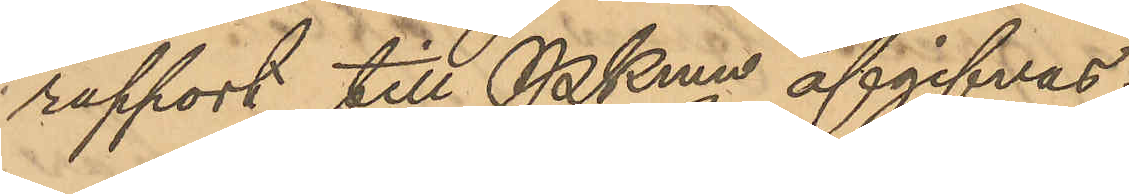rapport till PKmn afgifvas.
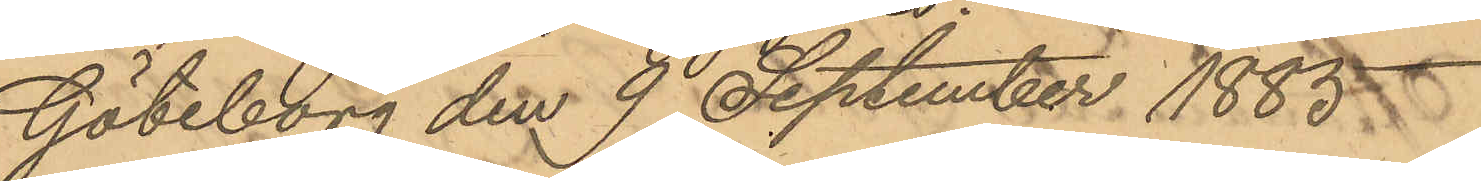Göteborg den 9 September 1885.
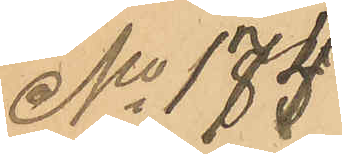No 174
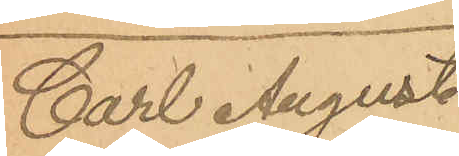Carl August
